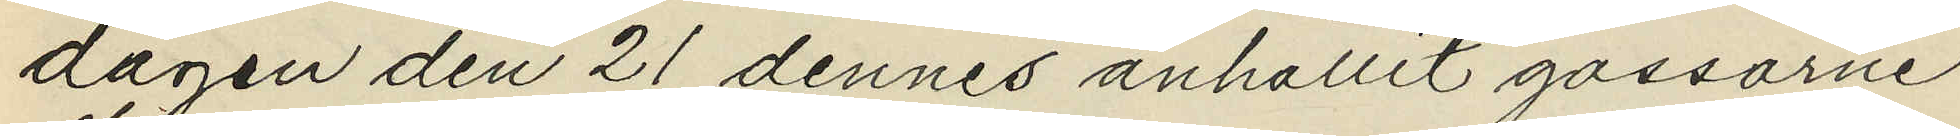dagen den 21 dennes anhållit gossarne
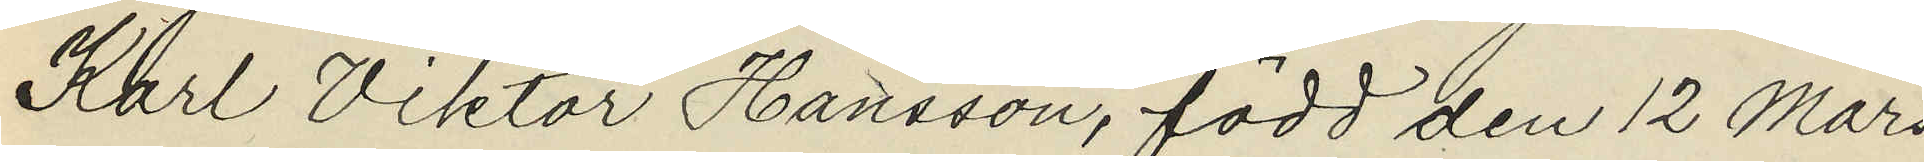Karl Viktor Hansson, född den 12 Mars
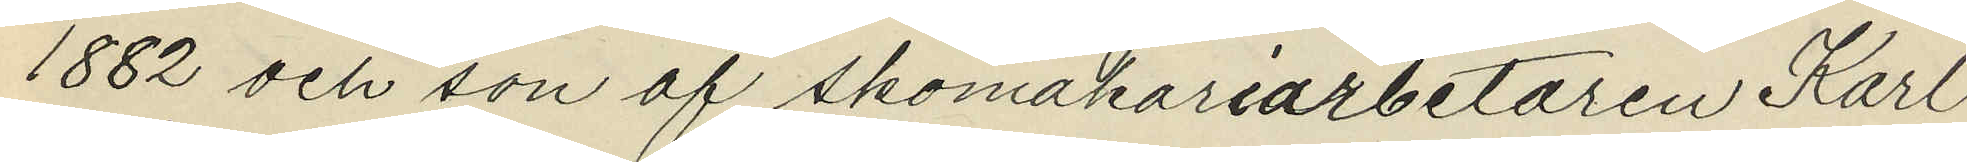1882 och son af skomakariarbetaren Karl
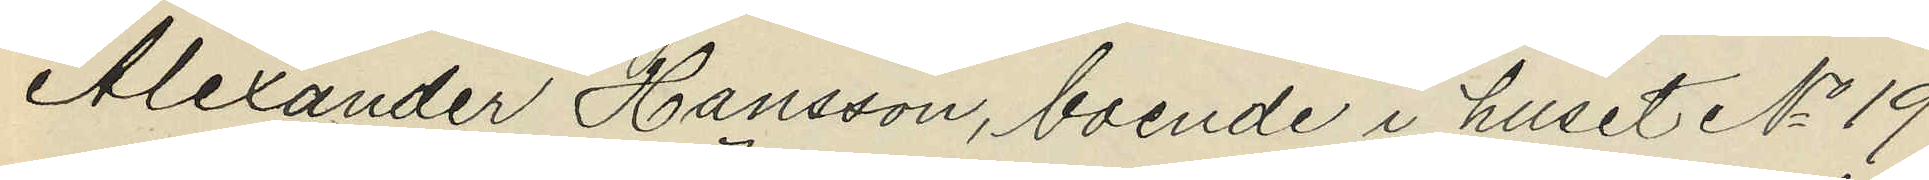Alexander Hansson, boende i huset No 19
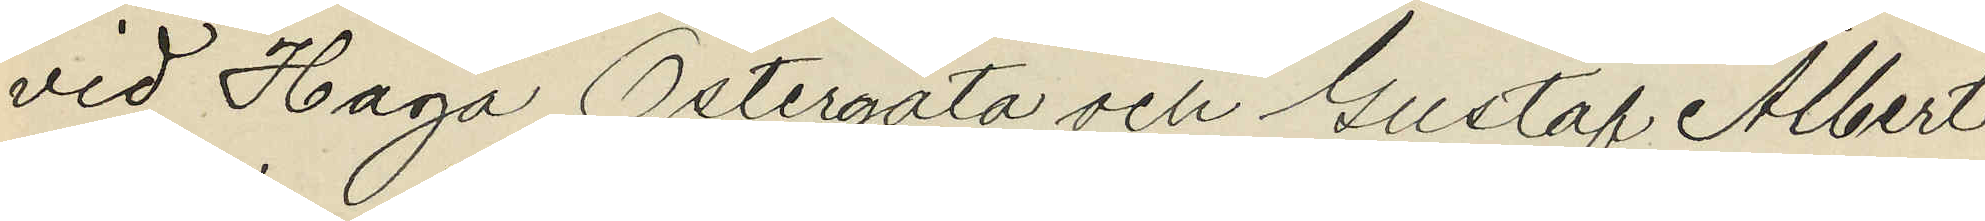vid Haga Östergata och Gustaf Albert
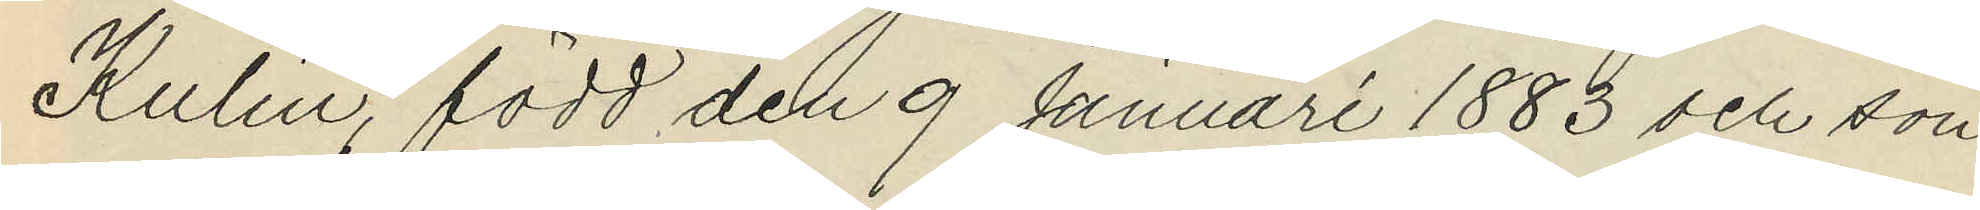Kulin, född den 9 Januari 1883 och son
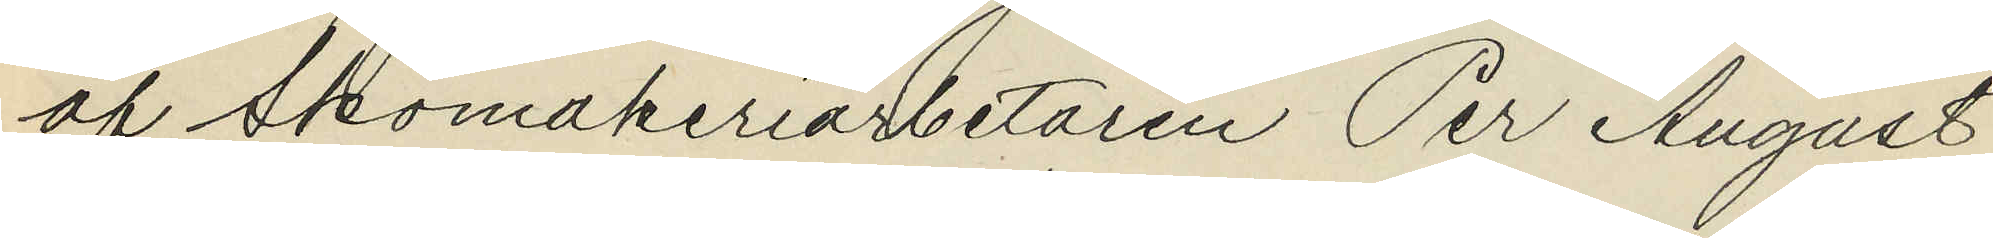af Skomakeriarbetaren Per August
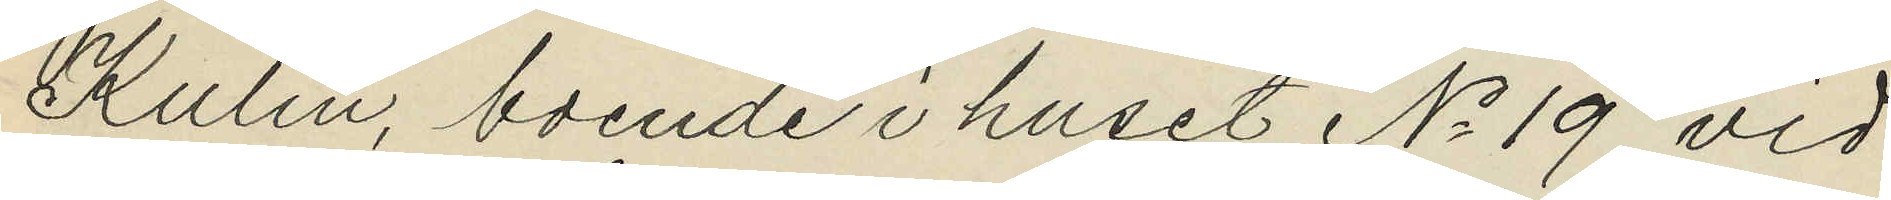Kulin, boende i huset No 19 vid
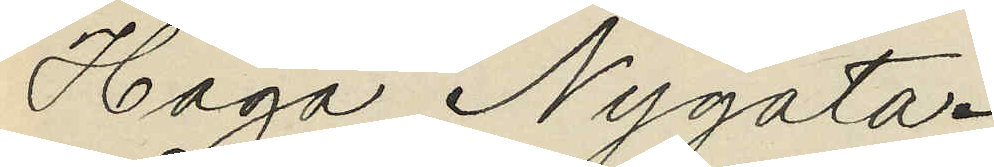Haga Nygata.
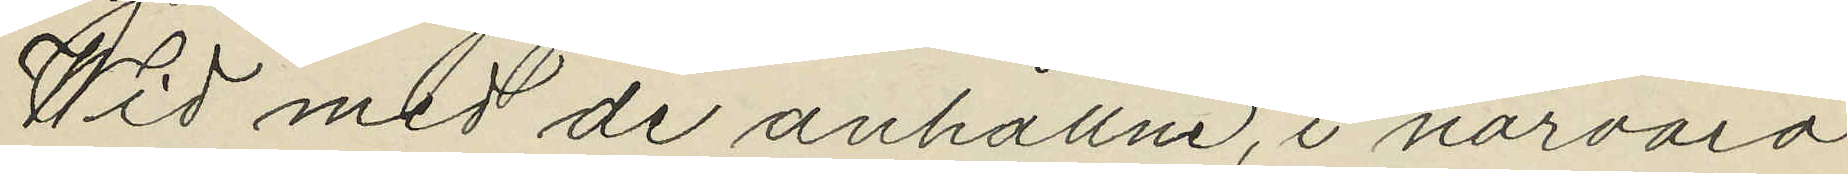Wid med de anhållne, i närvaro
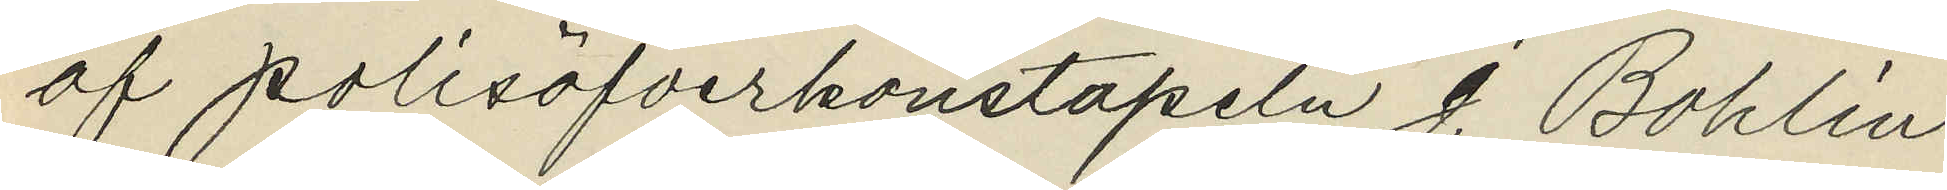af polisöfverkonstapeln J. Bohlin
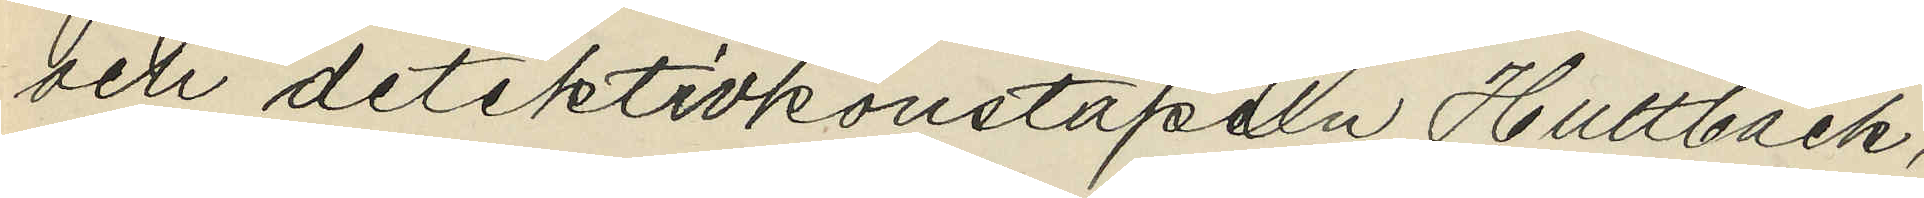och detektivkonstapeln Hultbäck,
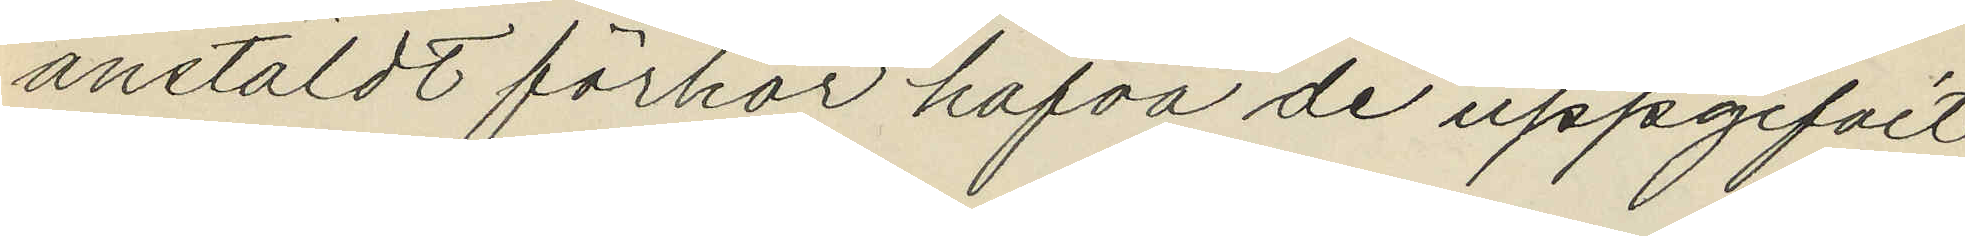anstäldt förhör hafva de uppgifvit
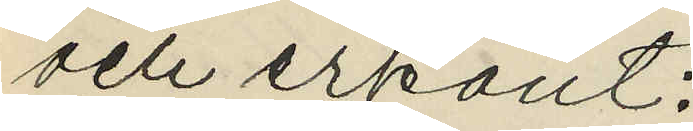och erkänt:
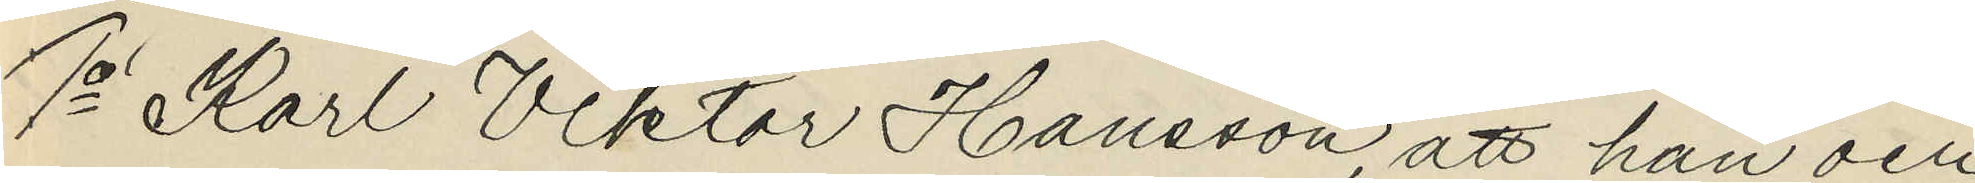1o Karl Viktor Hansson, att han och
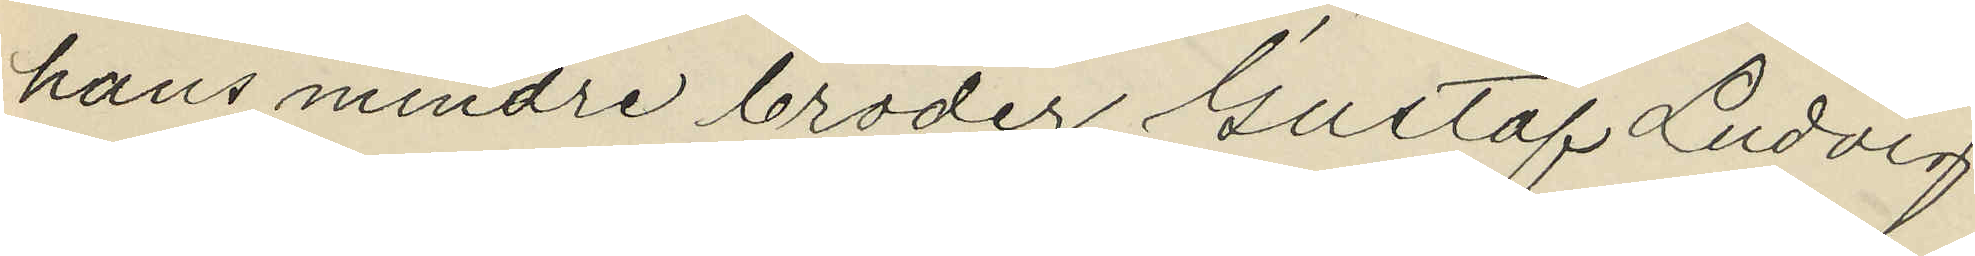hans mindre broder Gustaf Ludvig
